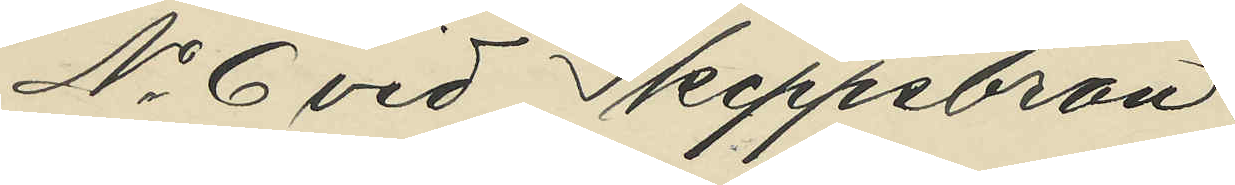No 6 vid Skeppsbron.
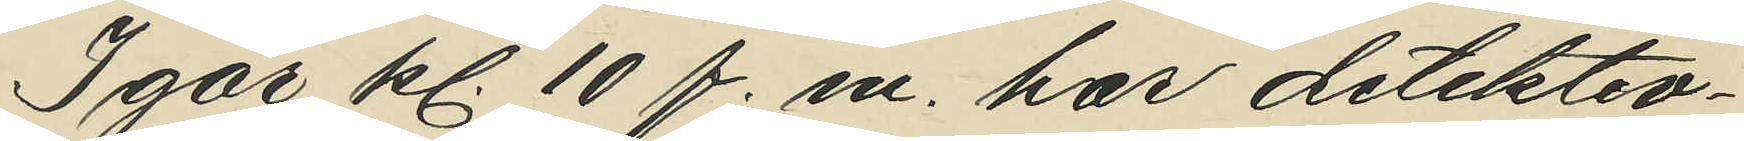Igår kl. 10 f. m. har detektiv¬
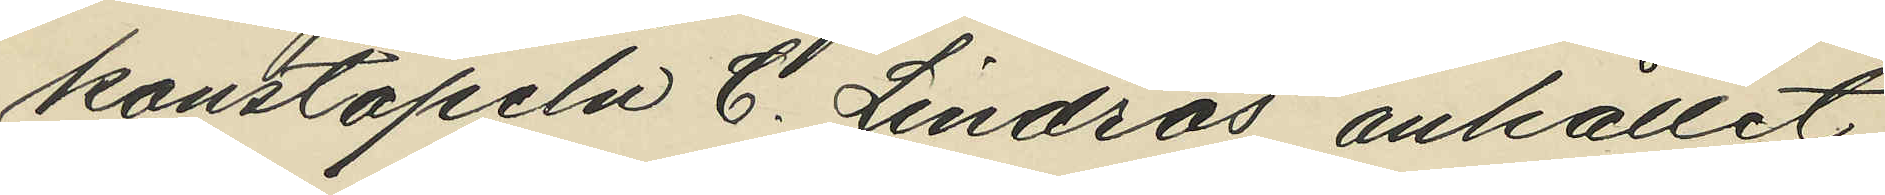konstapeln C. Lindros anhållit
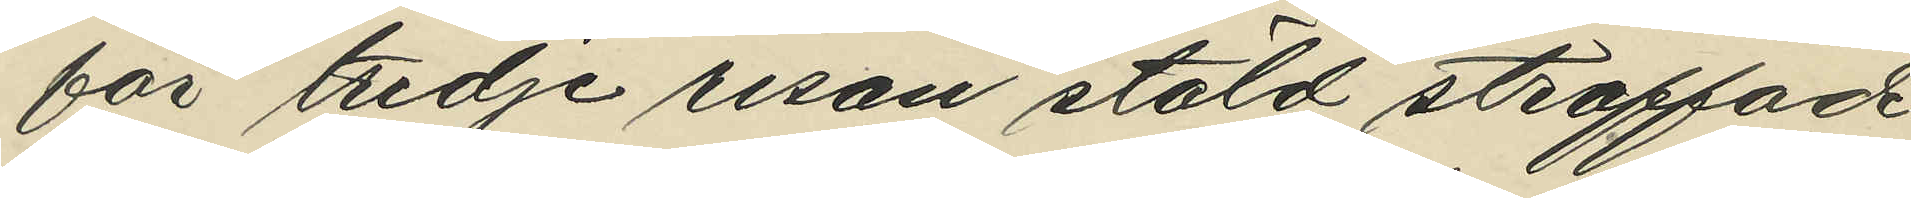för tredje resan stöld straffade
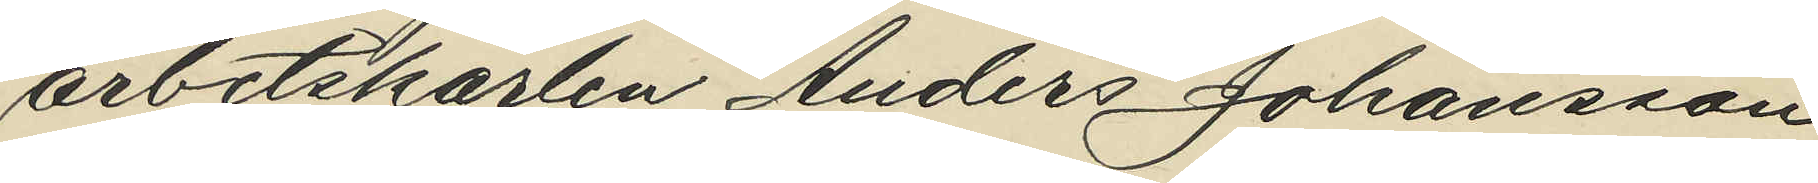arbetskarlen Anders Johansson
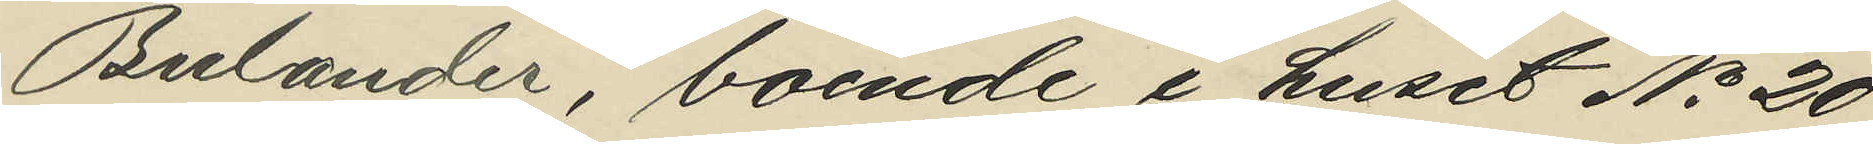Bulander, boende i huset No 20
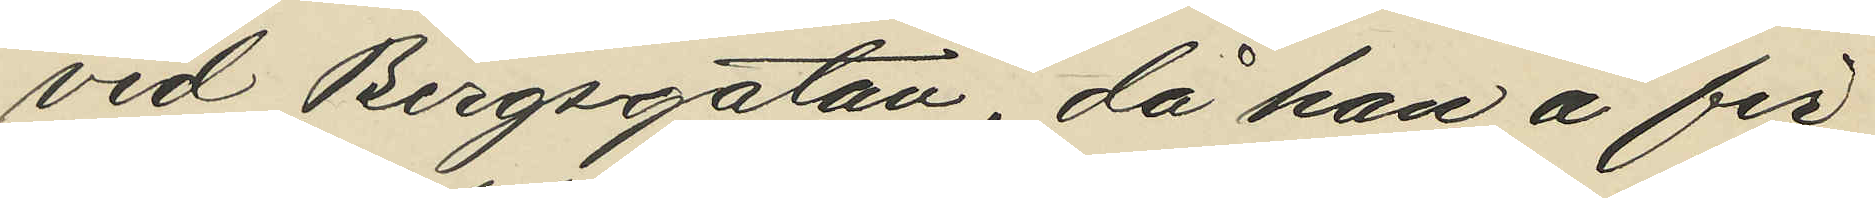vid Bergsgatan, då han å fir¬
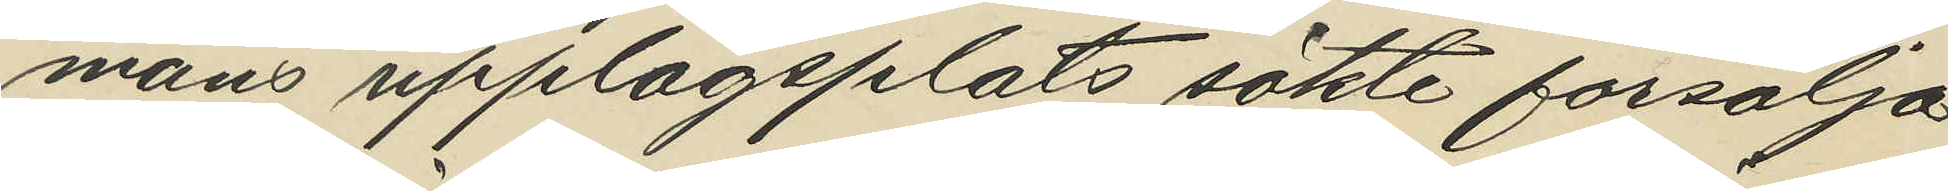mans upplagsplats sökte försälja
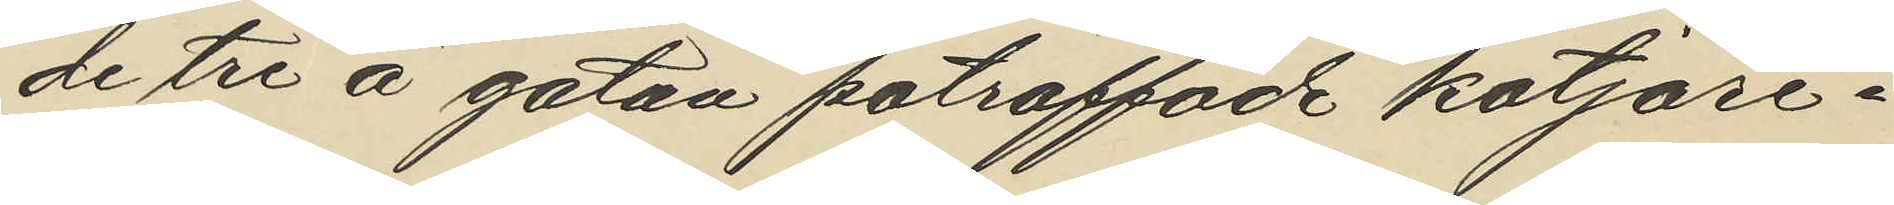de tre å gatan påträffade kotjäre¬
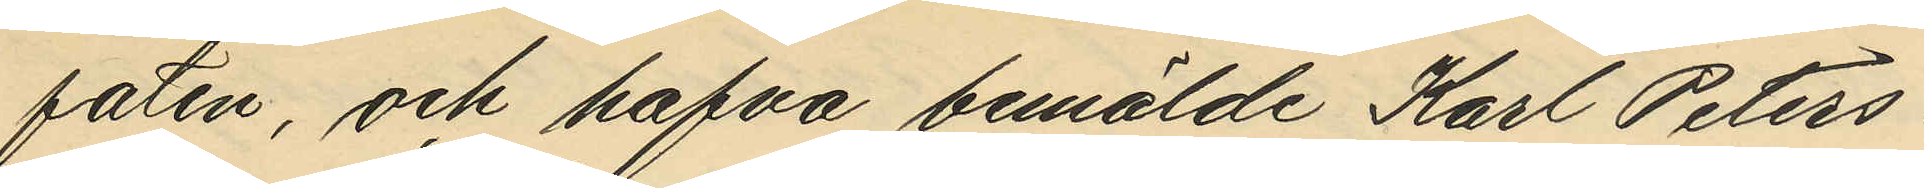faten, och hafva bemälde Karl Peters¬
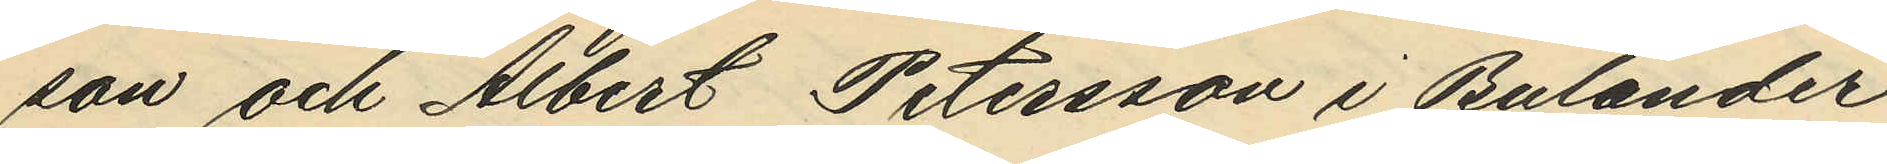son och Albert Petersson i Bulander
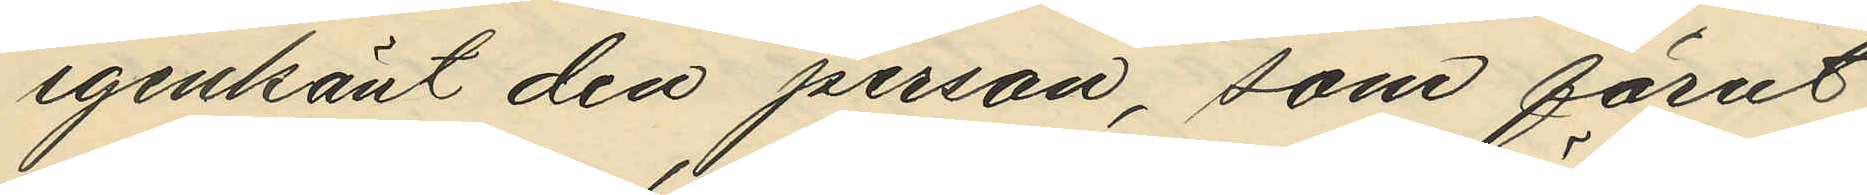igenkänt den person, som förut
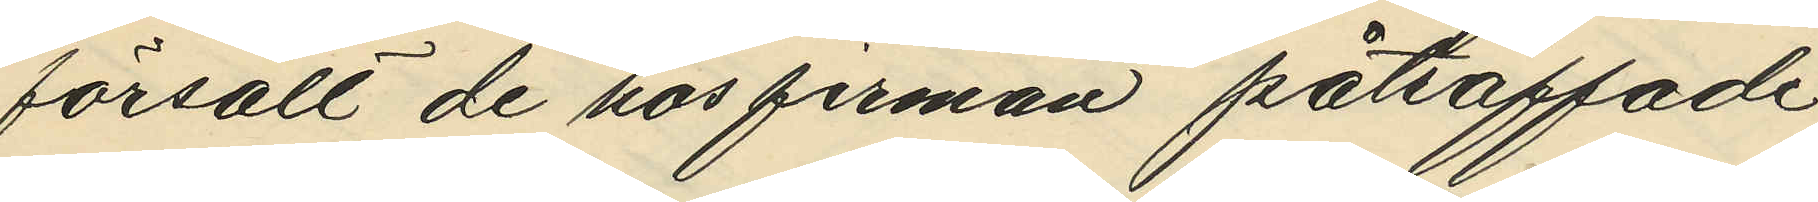försålt de hos firman påträffade
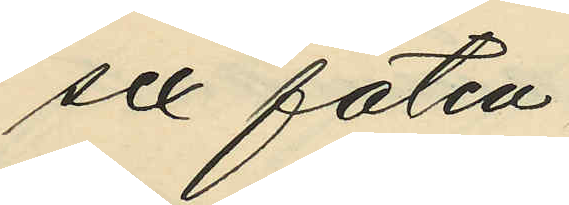sex faten.
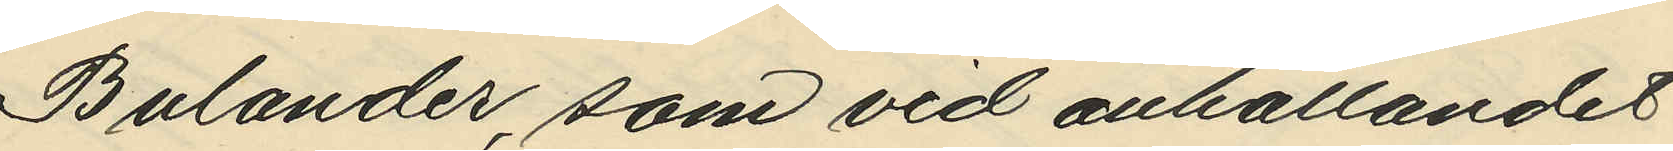Bulander, som vid anhållandet
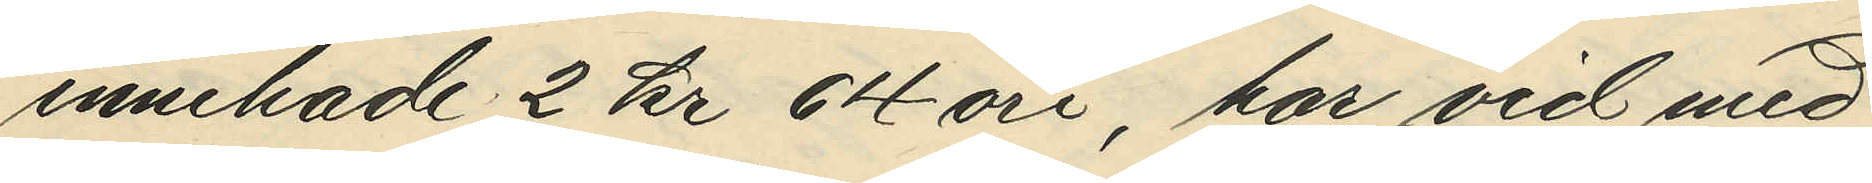innehade 2 kr 64 öre, har vid med
